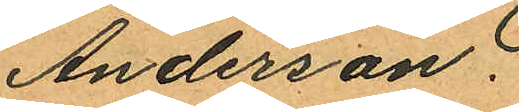Anderson.
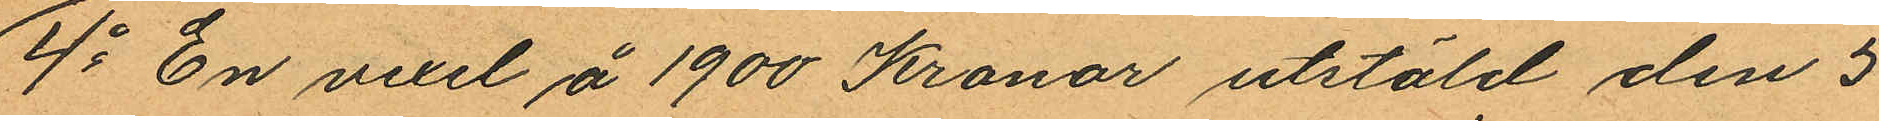4o En vexel å 1900 Kronor utstäld den 5
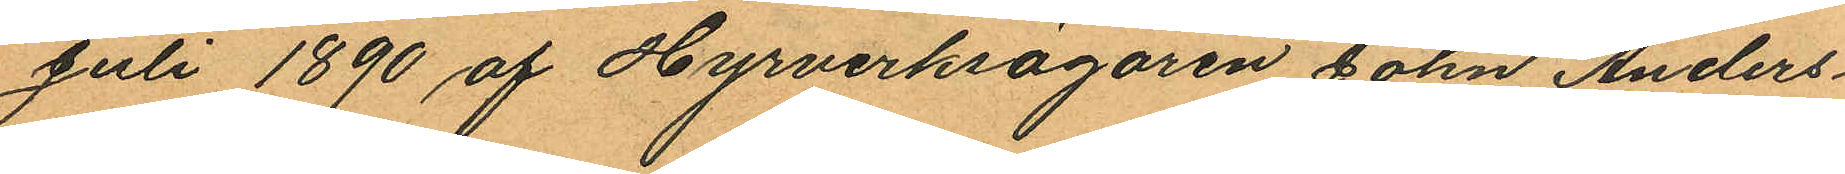Juli 1890 af Hyrverksägaren John Anders¬
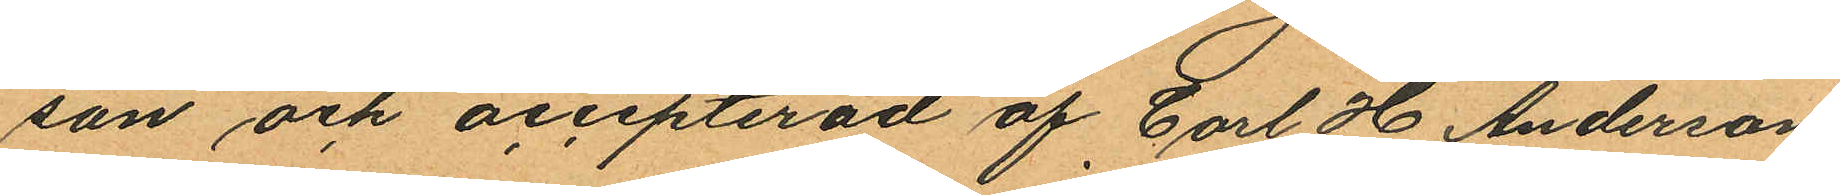son och accepterad af Carl H Anderson
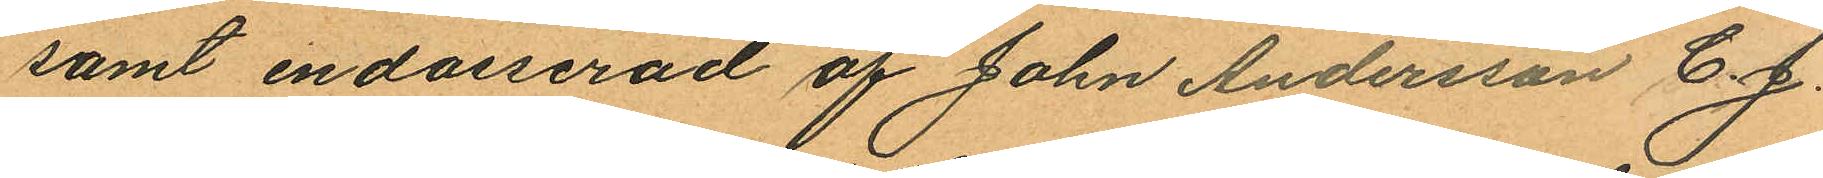samt endosserad af John Andersson C. J.
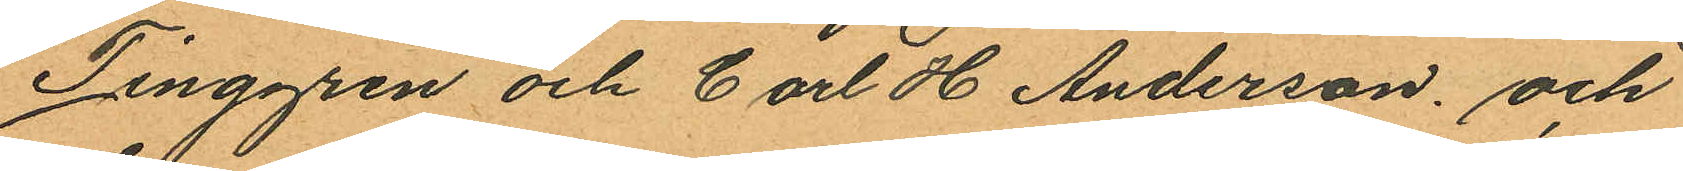Tinggren och Carl H Anderson och
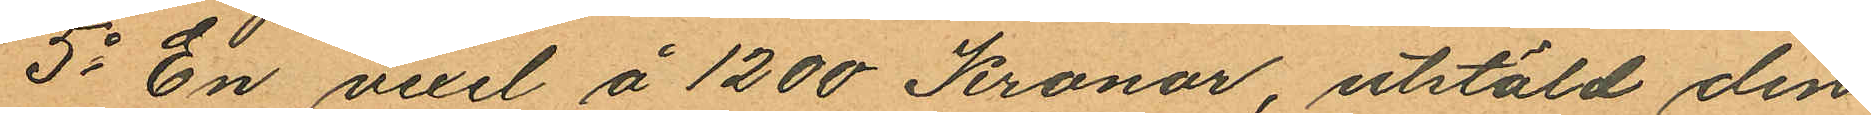5o En vexel å 1200 Kronor, utstäld den
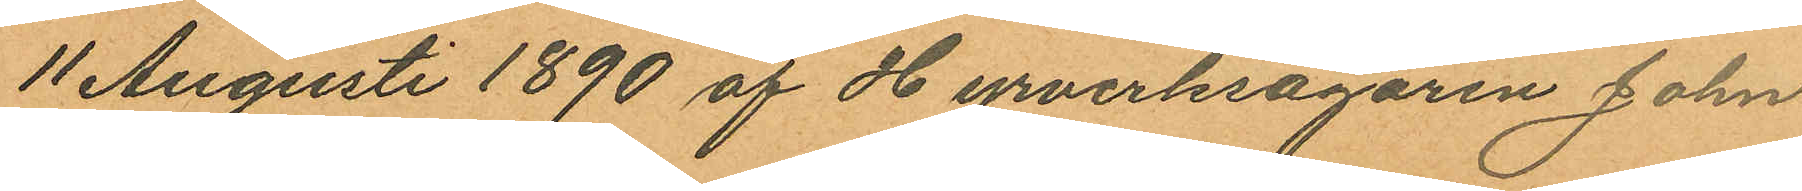11 Augusti 1890 af Hyrverksägaren John
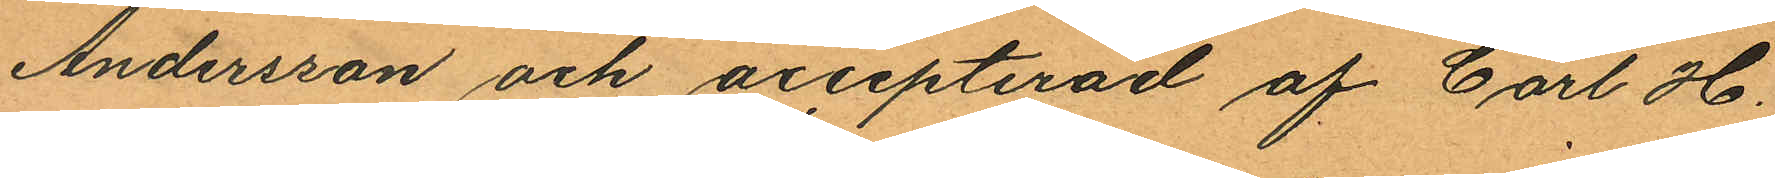Andersson och accepterad af Carl H.
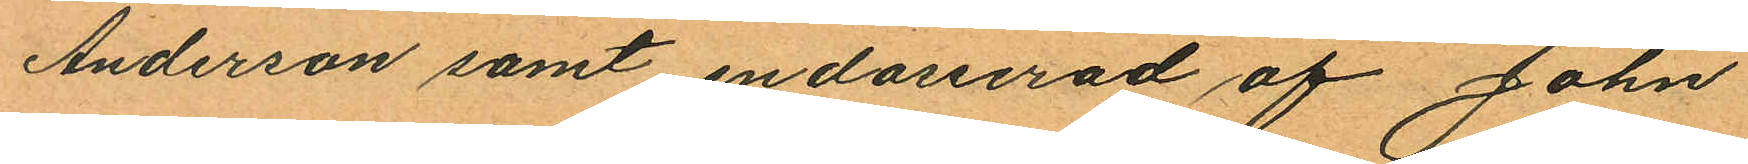Anderson samt endosserad af John
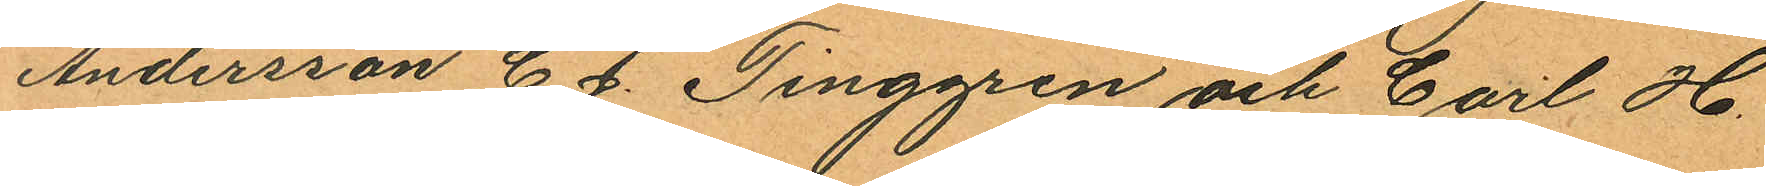Andersson C. J. Tinggren och Carl H.
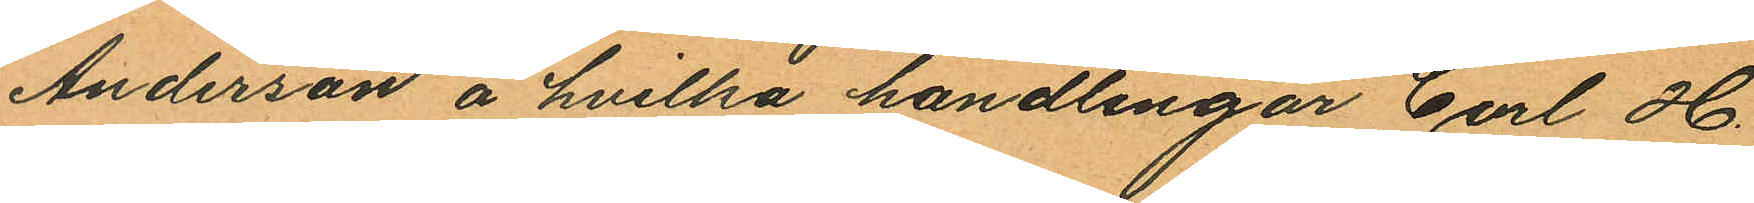Anderson å hvilka handlingar Carl H.
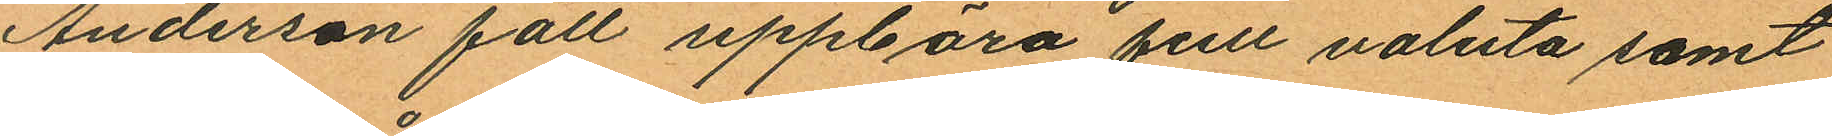Anderson fått uppbära full valuta samt
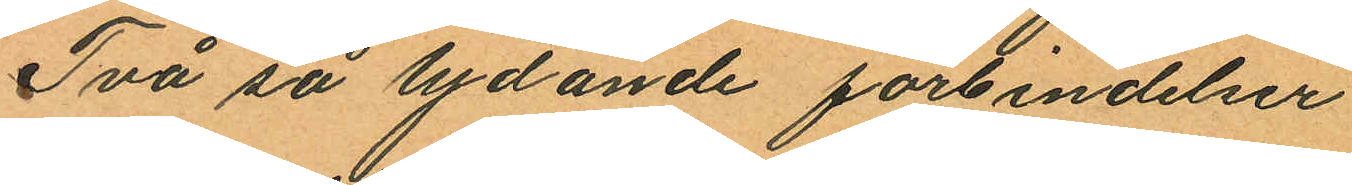Två så lydande förbindelser.
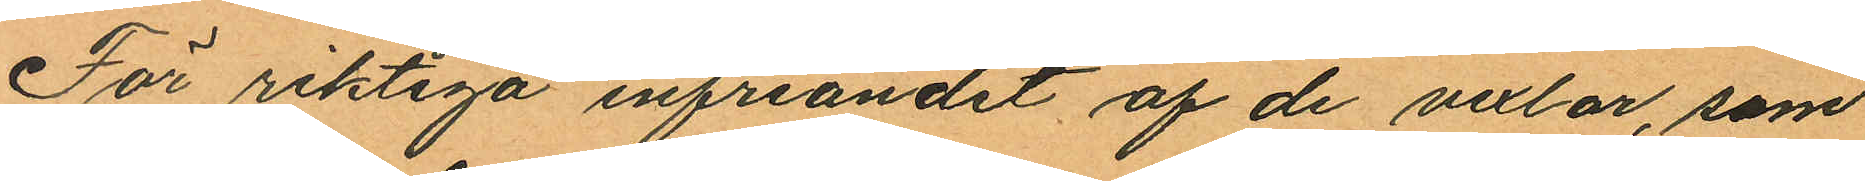För riktiga infriandet af de vexlar, som
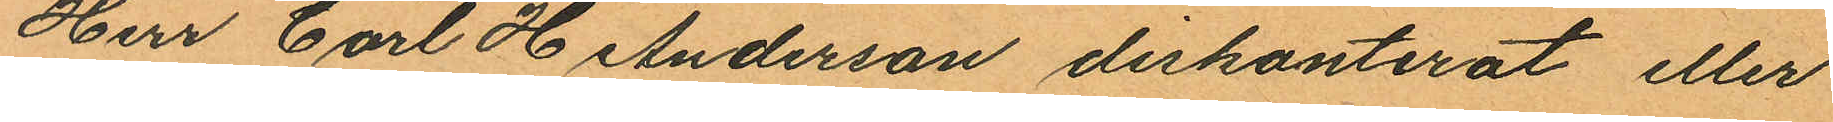Herr Carl H Anderson diskonterat eller
